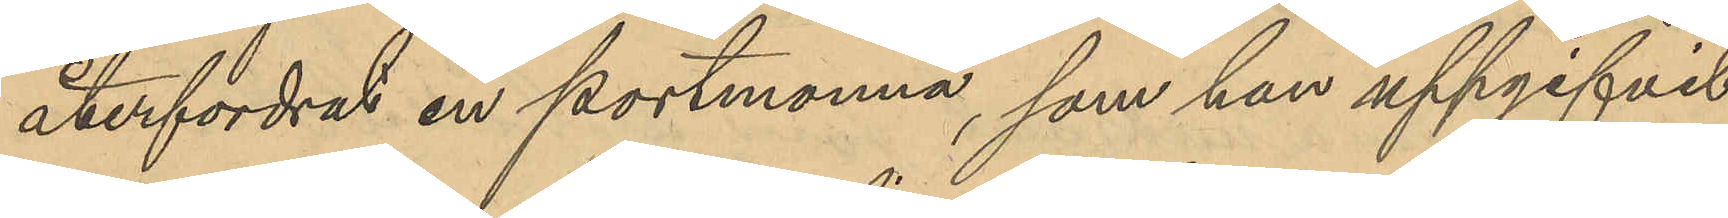återfordrat en portmonnä, som han uppgifvit
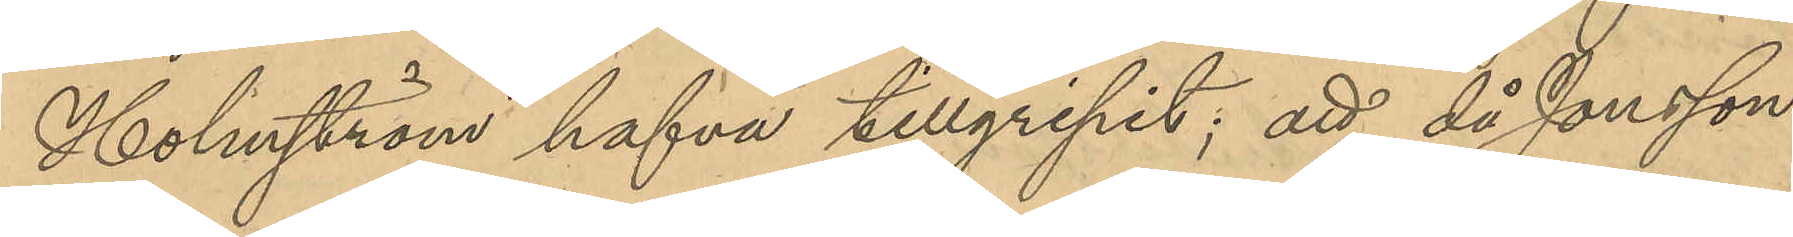Holmström hafva tillgripit; att då Jonsson
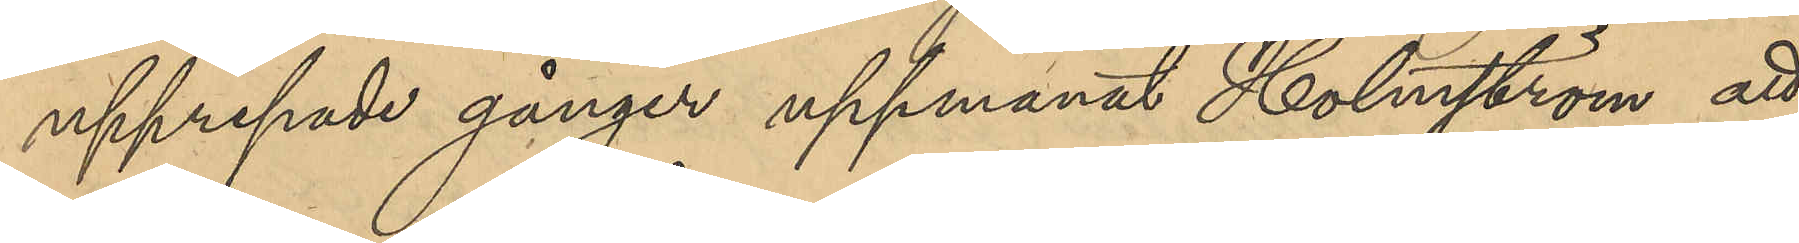upprepade gånger uppmanat Holmström att
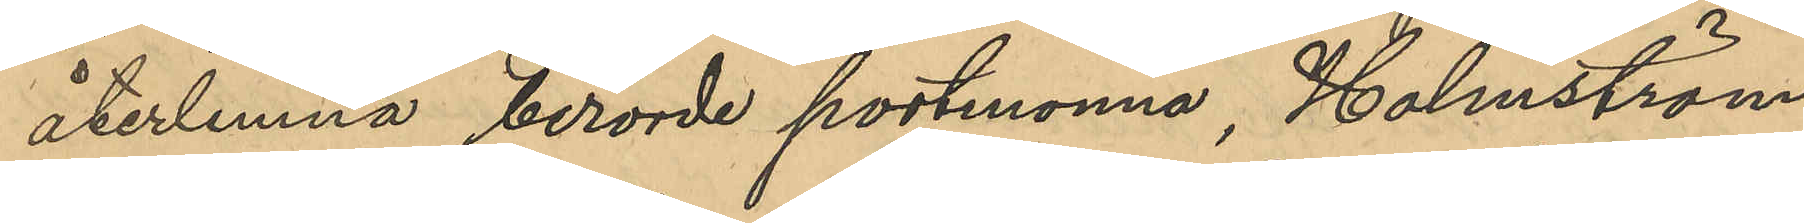återlemna berörde portmonnä, Holmström
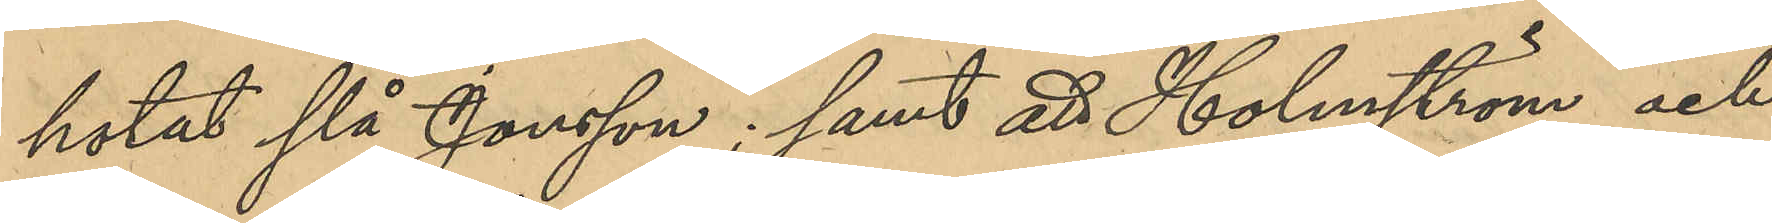hotat slå Jonsson; samt att Holmström och
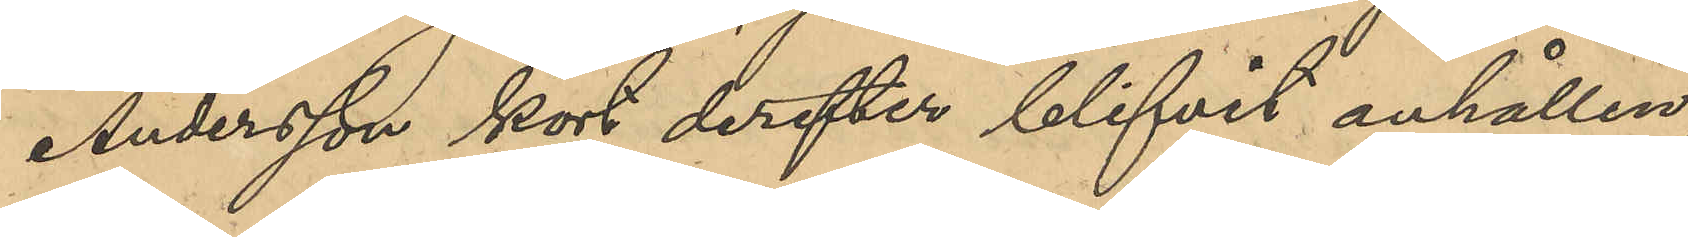Andersson kort derefter blifvit anhållen;
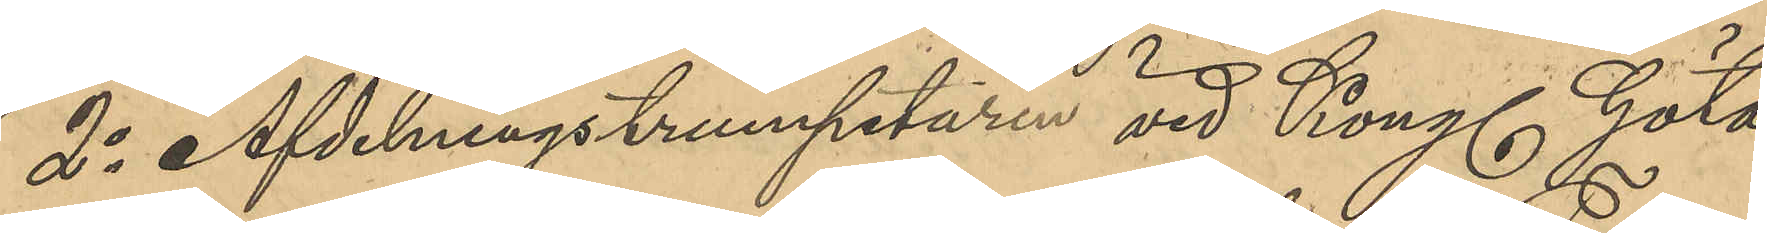2o Avdelningstrumpetaren vid Kongl Göta
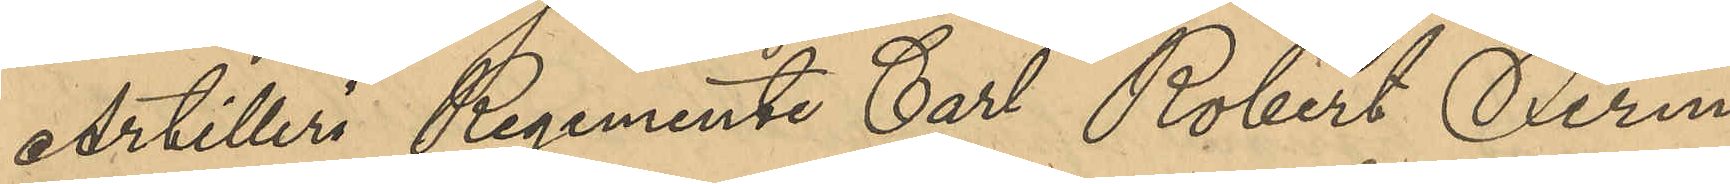Artilleri Regemente Carl Robert Ferm;
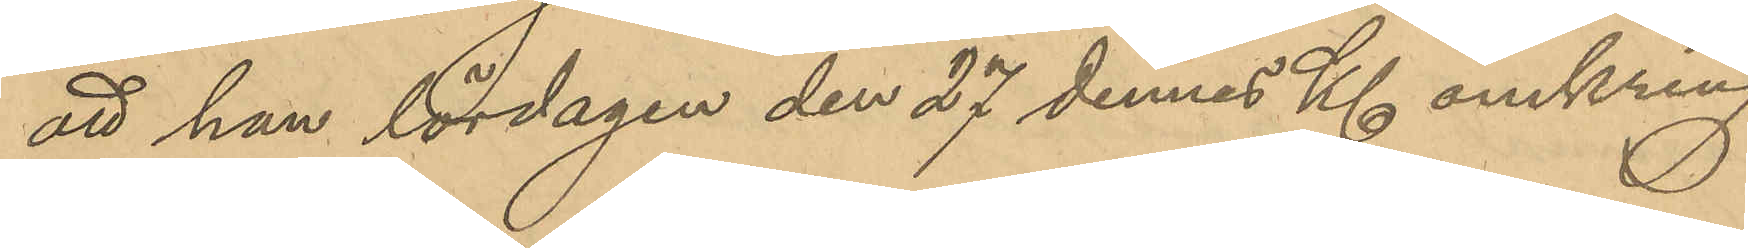att han lördagen den 27 dennes Kl omkring
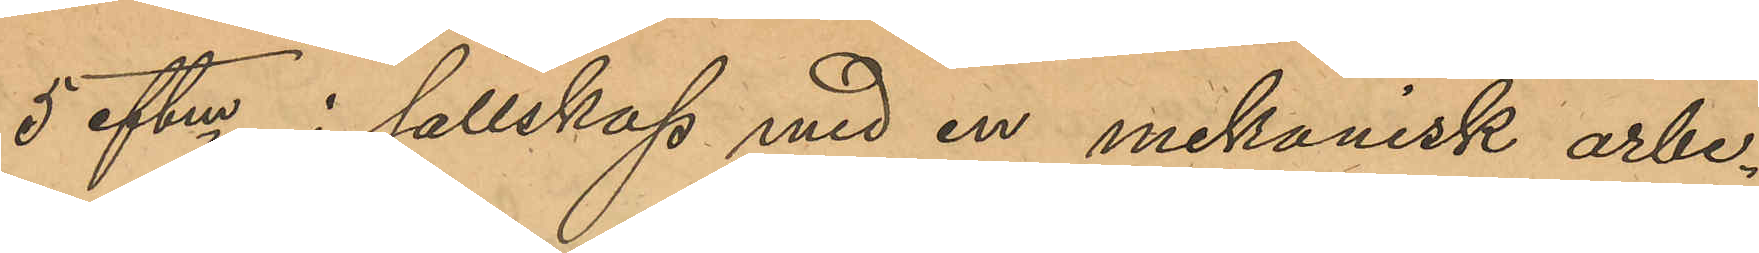5 eftm i sällskap med en mekanisk arbe¬
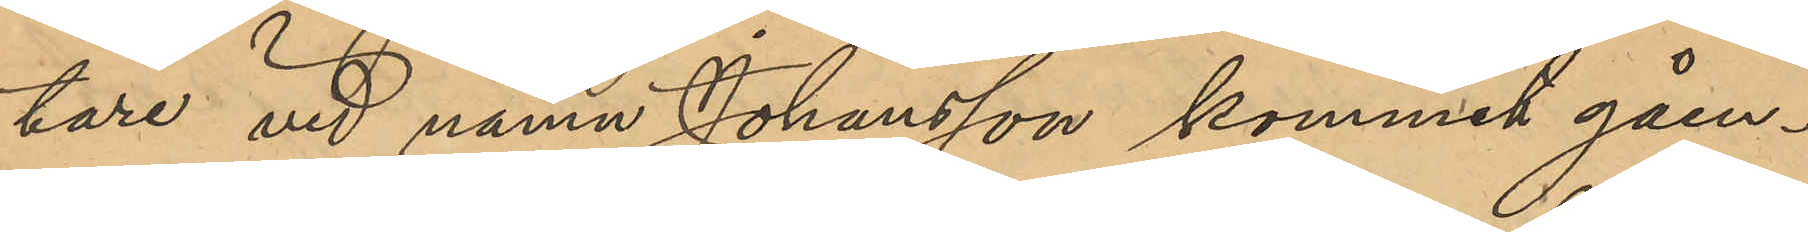tare vid namn Johansson kommit gåen¬
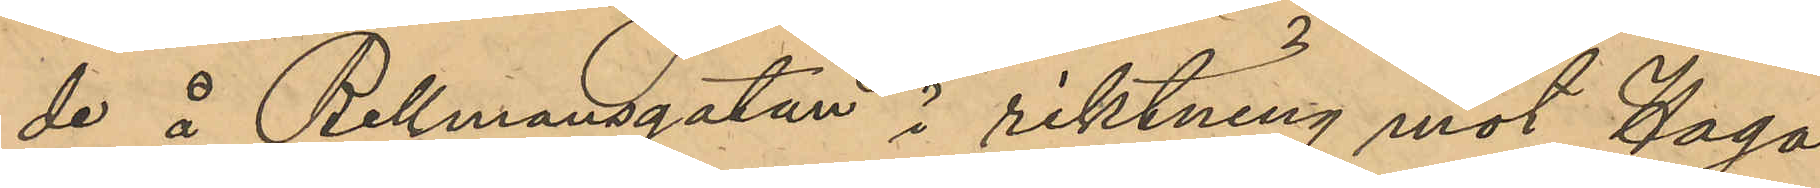de å Bellmansgatan i riktning mot Haga
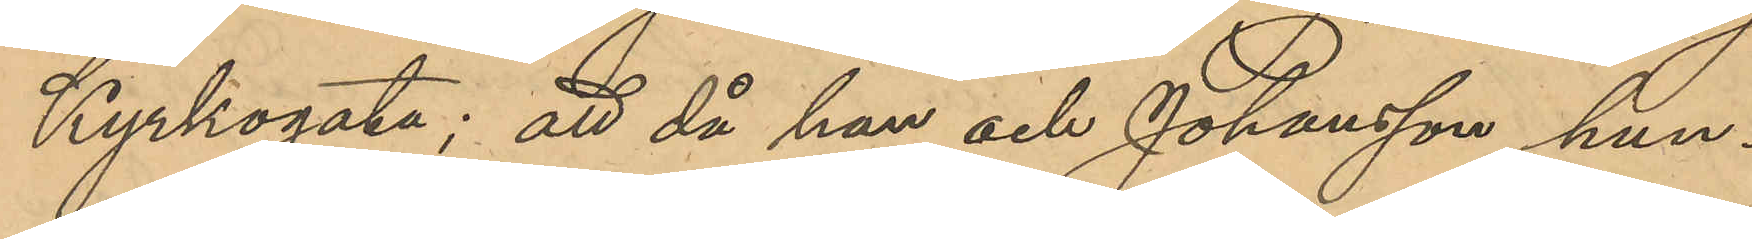Kyrkogata; att då han och Johansson hun¬
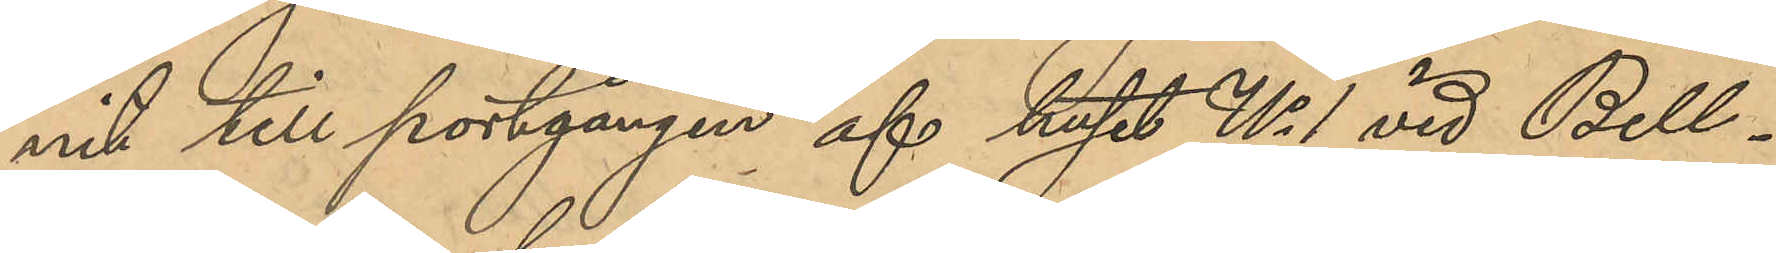nit till portgången af huset No 1 vid Bell¬
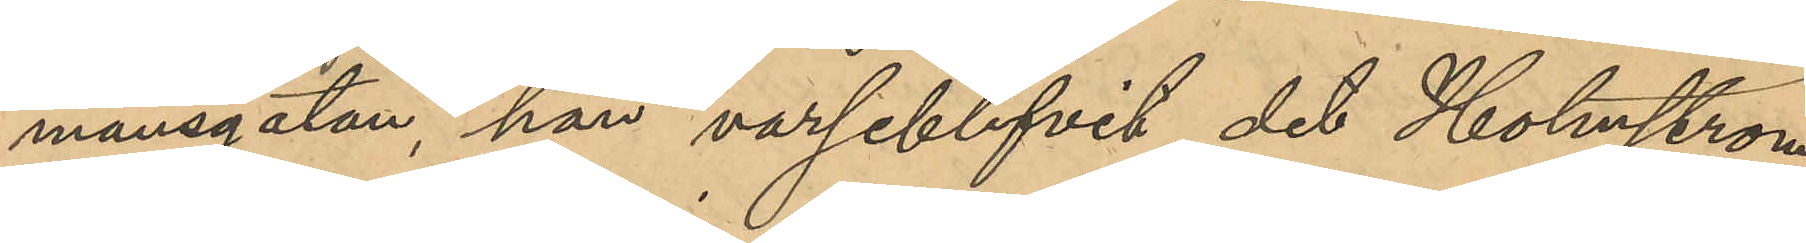mansgatan, han varseblifvit det Holmström
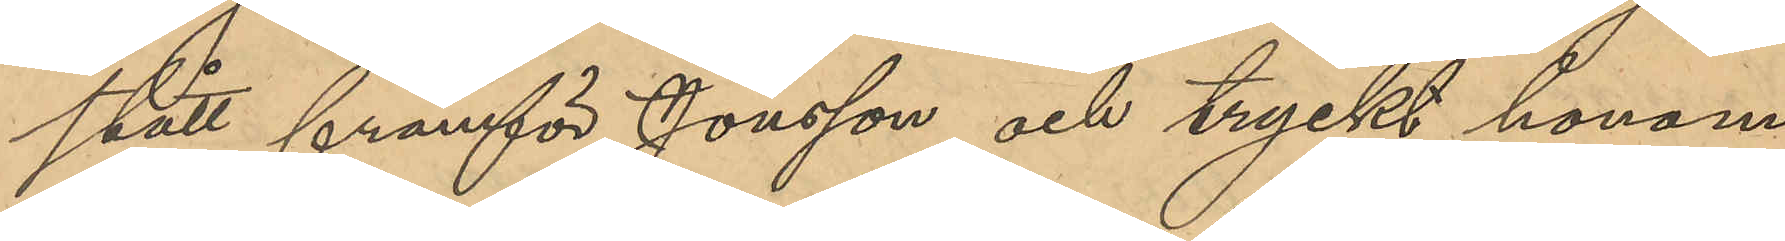stått framför Jonsson och tryckt honom
